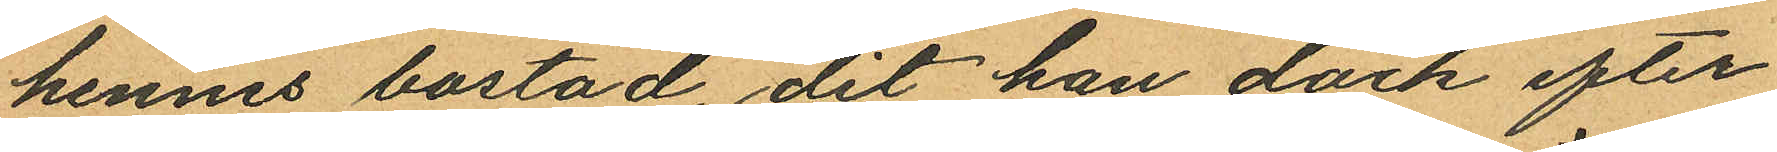hennes bostad, dit han dock efter
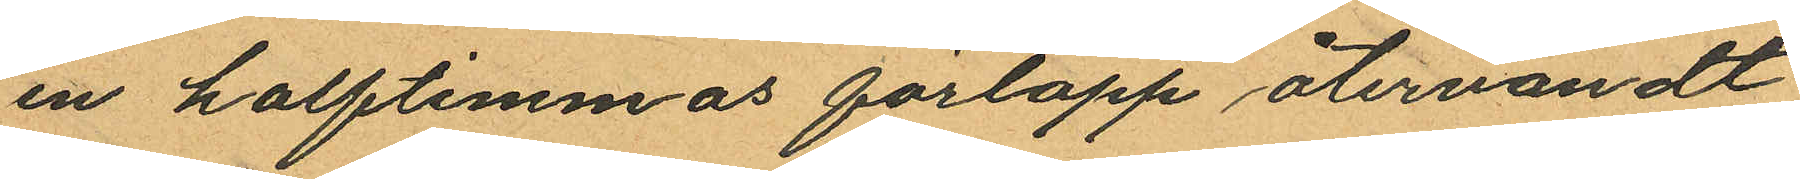en halftimmas förlopp återvändt
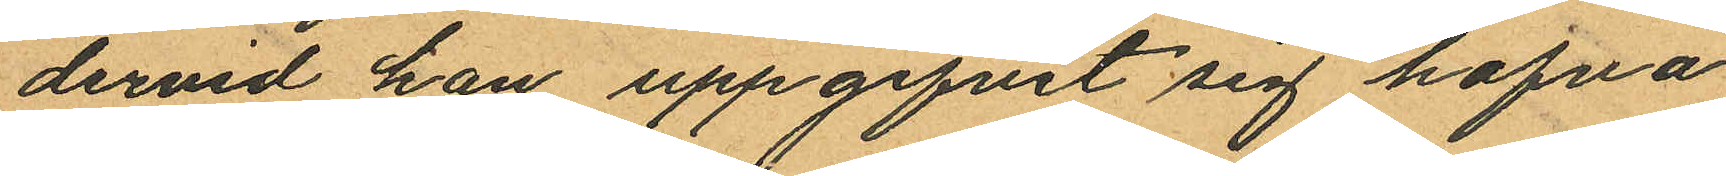dervid han uppgifvit sig hafva
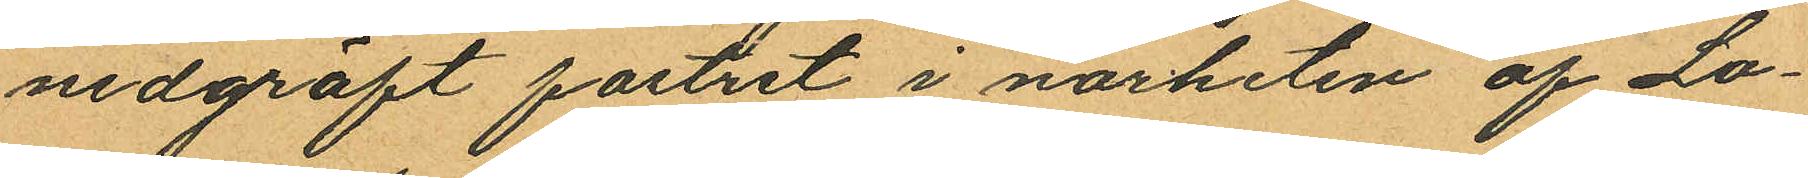nedgräft fostret i närheten af Lo¬
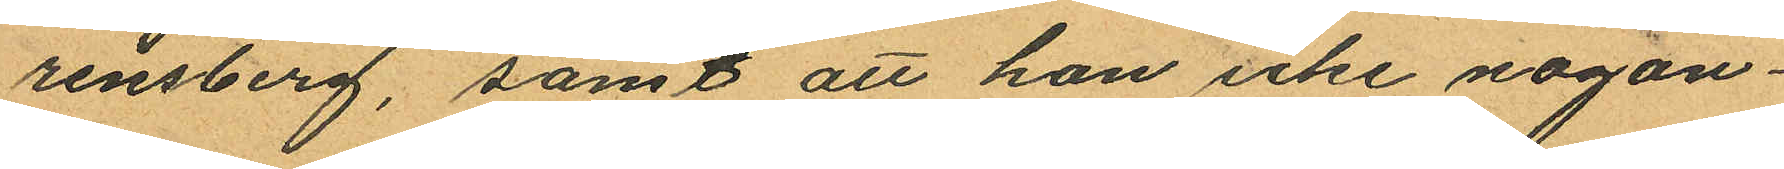rensberg, samt att hon icke någon¬
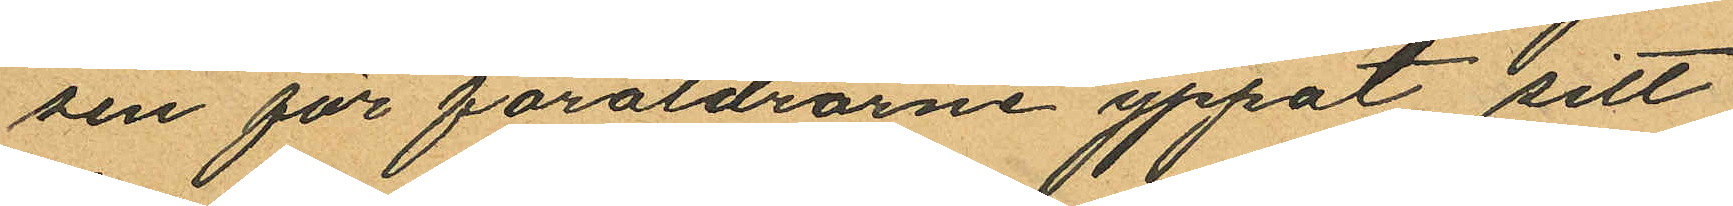sin för föräldrarne ypprat sitt
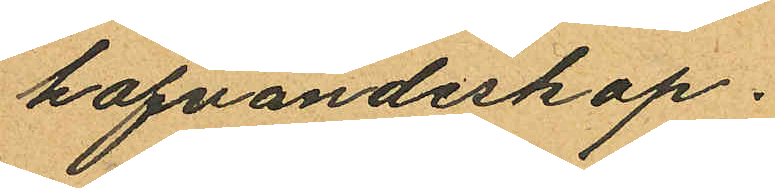hafvandeskap.
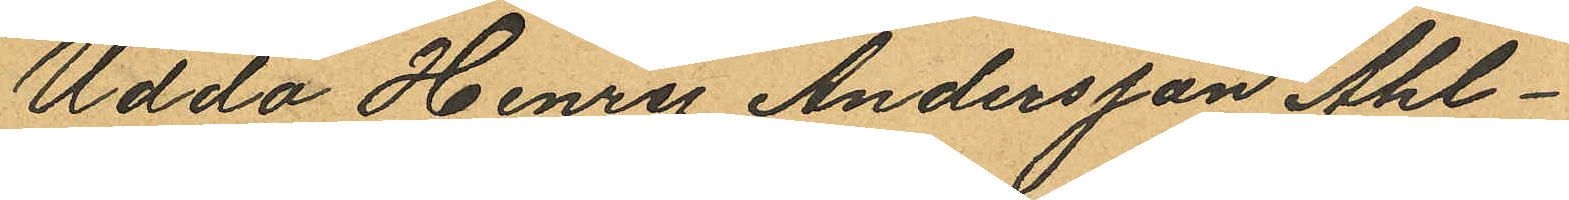Udda Henry Andersson Ahl¬
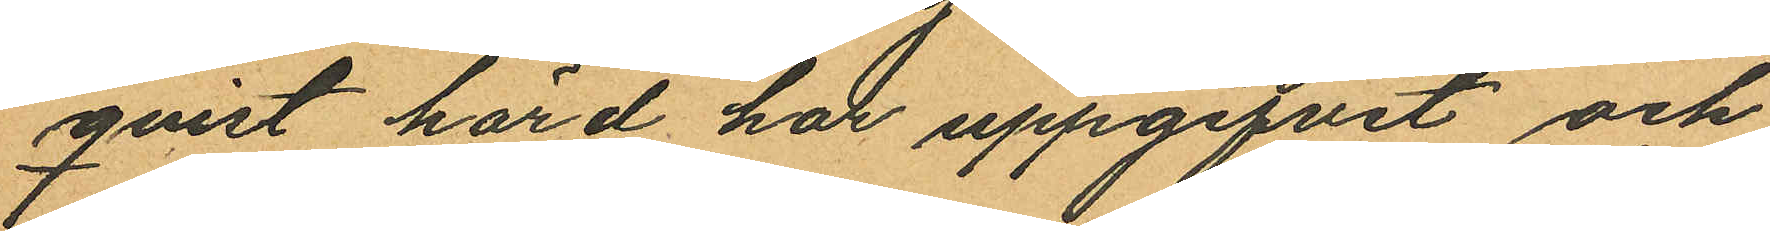qvist hörd har uppgifvit och
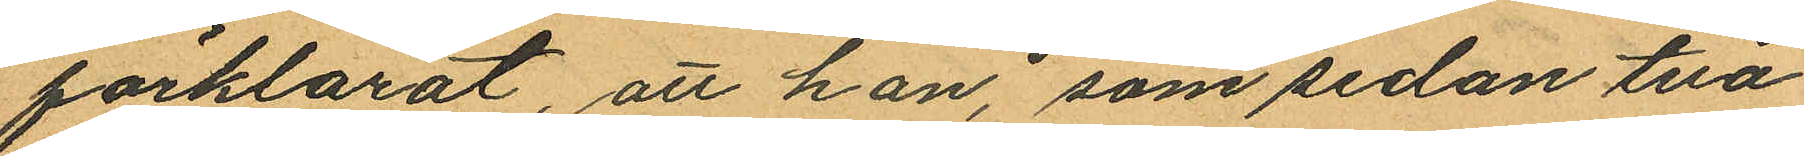förklarat, att han, som sedan två
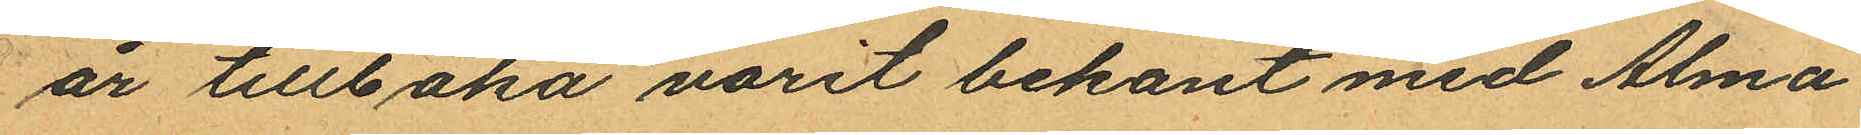år tillbaka varit bekant med Alma
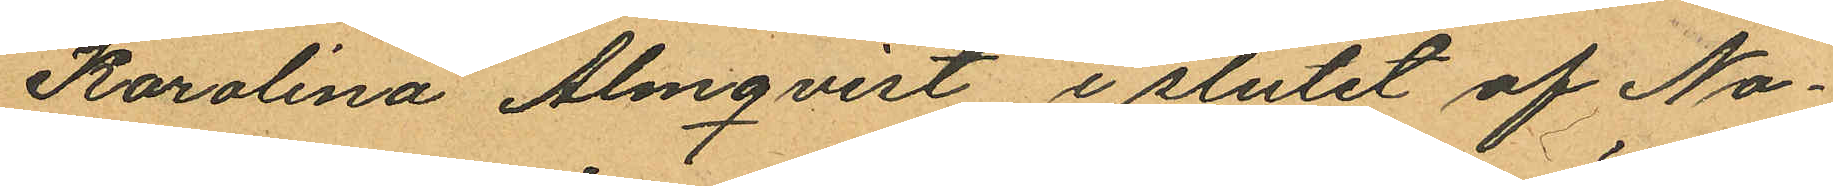Karolina Almqvist i slutet af No¬
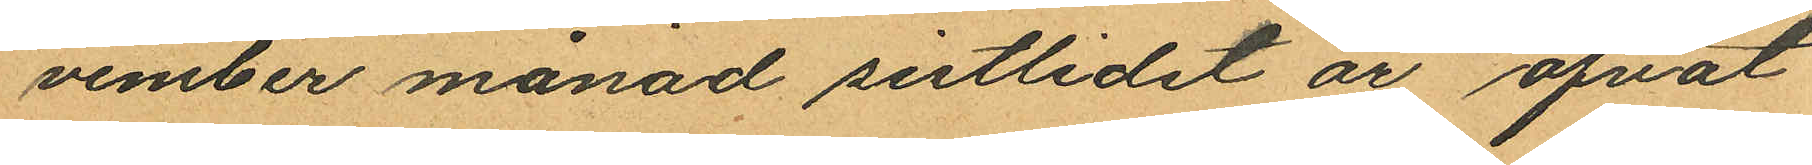vember månad sistlidet år öfvat
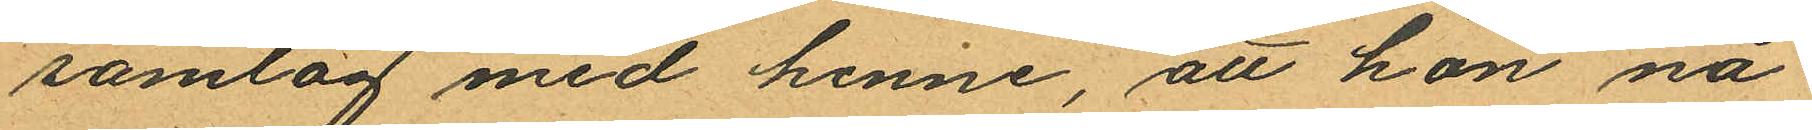samlag med henne, att hon nå¬
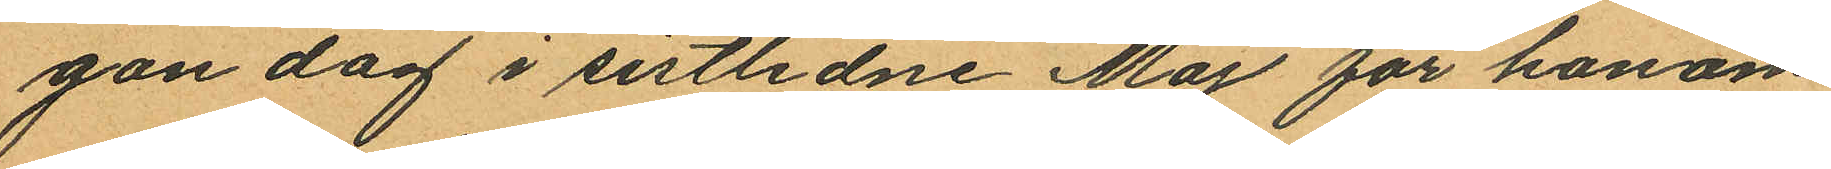gon dag i sistlidne Maj för honom
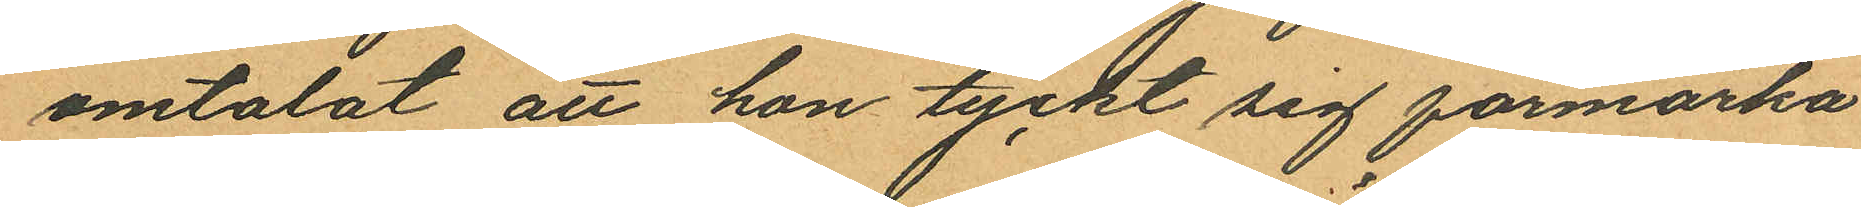omtalat att hon tyckt sig förmärka
